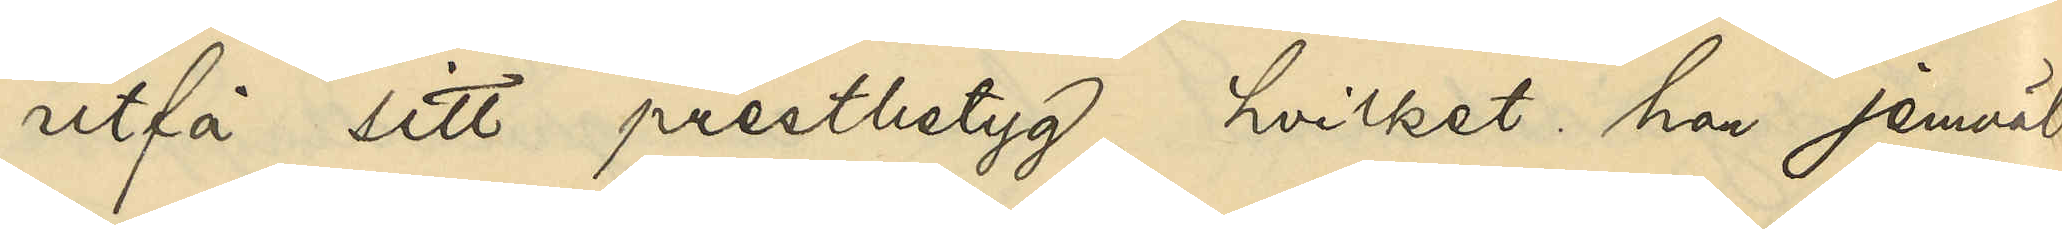utfå sitt prestbetyg, hvilket han jemväl
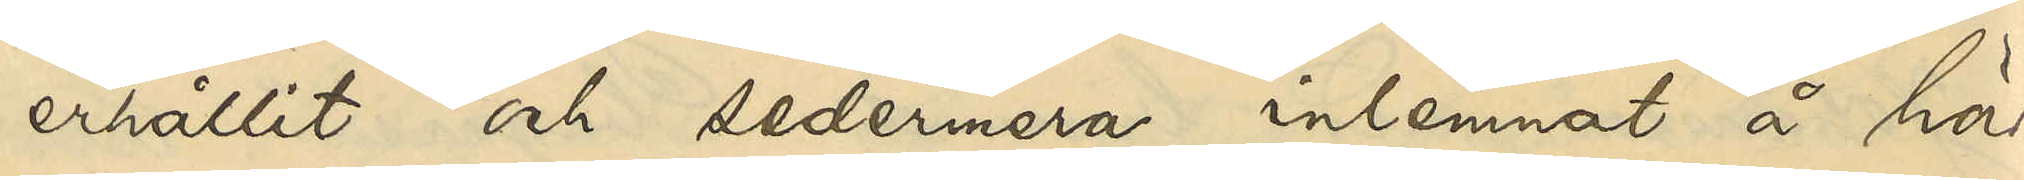erhållit och sedermera inlemnat å här¬
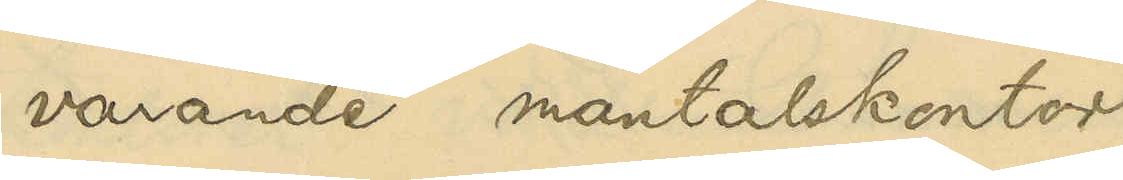varande mantalskontor.
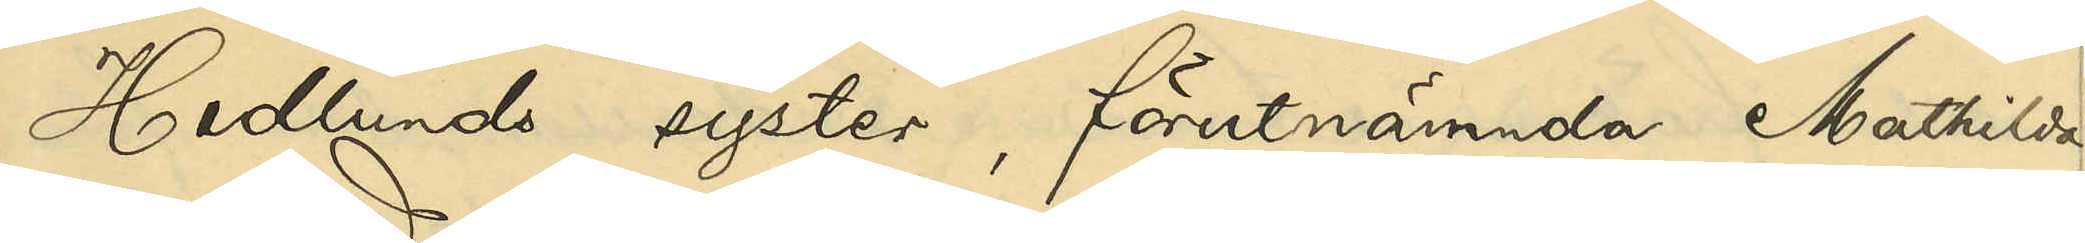Hedlunds syster, förutnämnda Mathilda
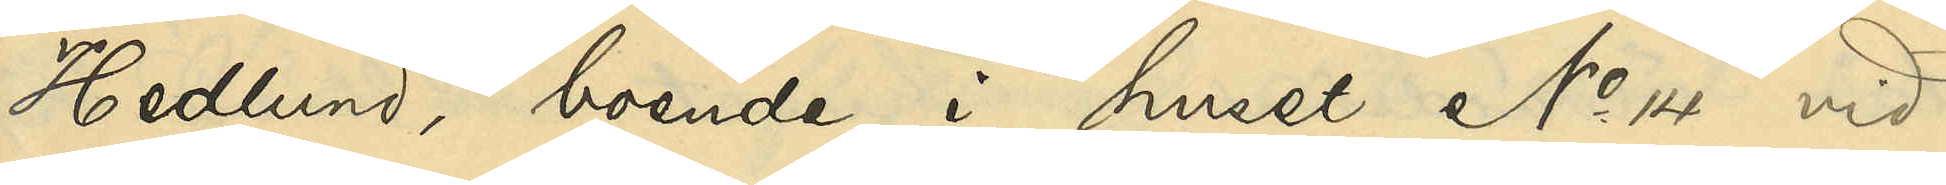Hedlund, boende i huset No 14 vid
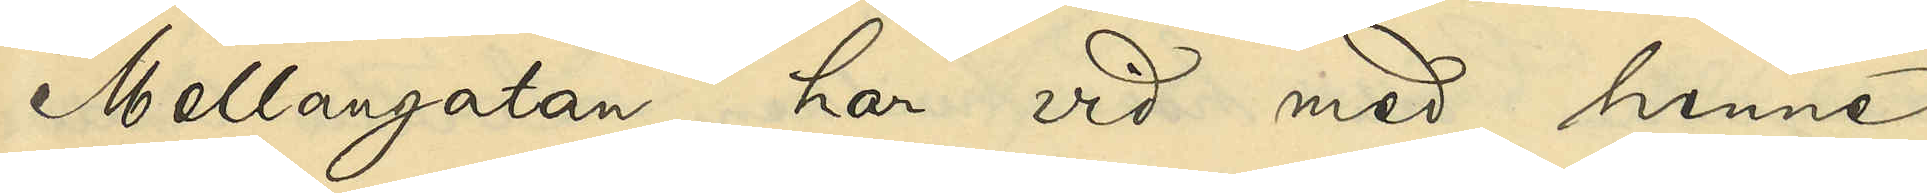Mellangatan, har vid med henne
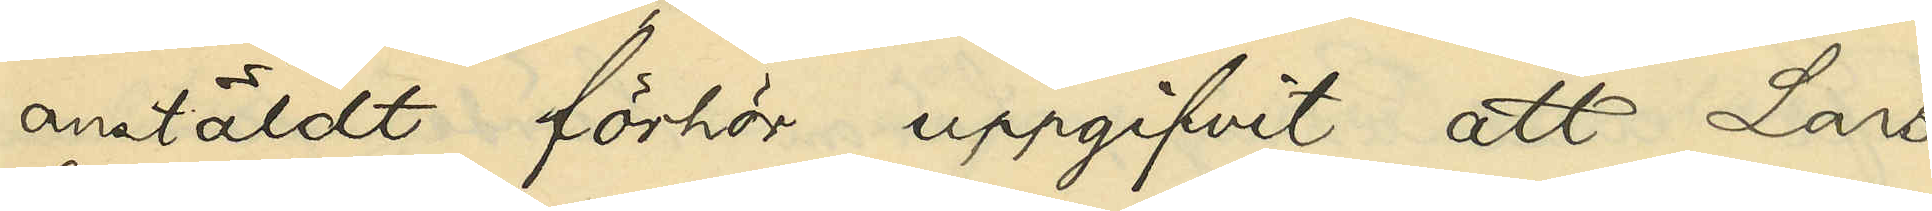anstäldt förhör uppgifvit, att Lars
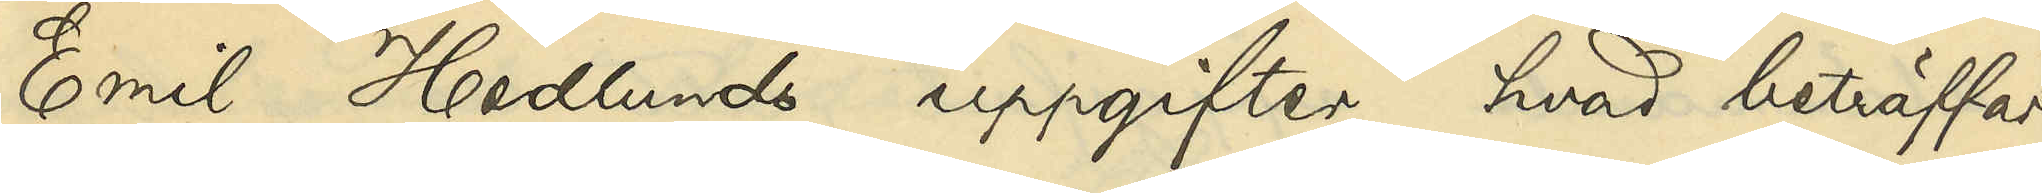Emil Hedlunds uppgifter, hvad beträffar
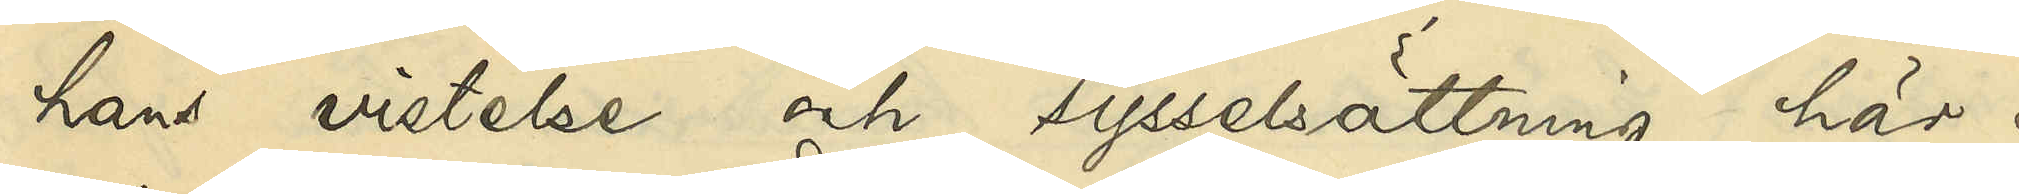hans vistelse och sysselsättning här i
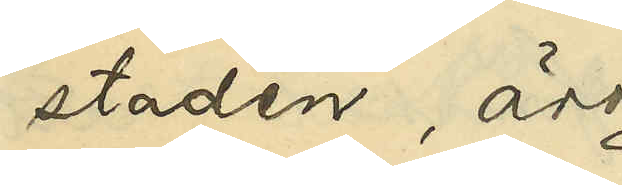staden, äro
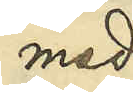med
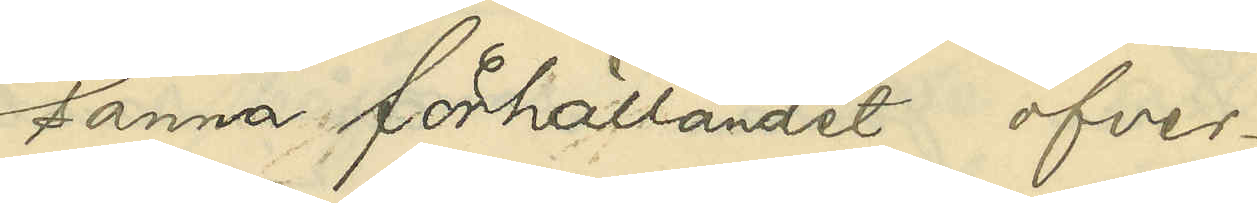sanna förhållandet öfver¬
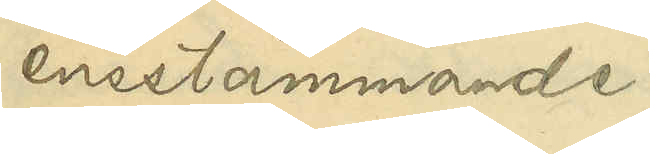ensstämmande.
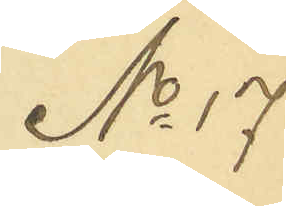No 17
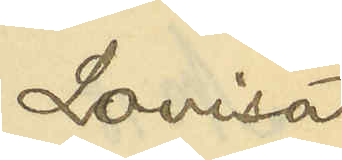Lovisa
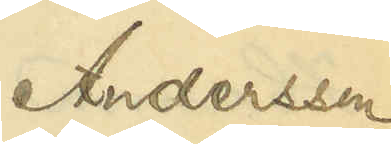Andersson
